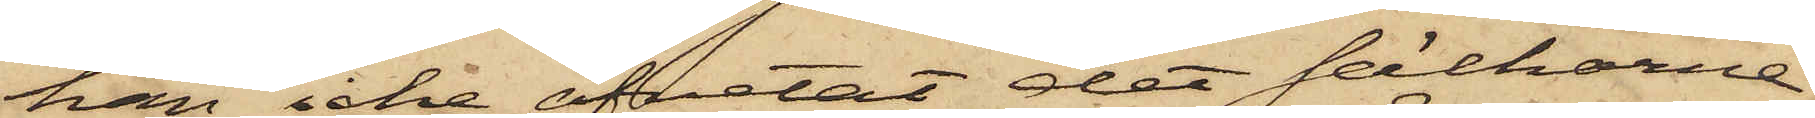han icke afvetat det säckarna
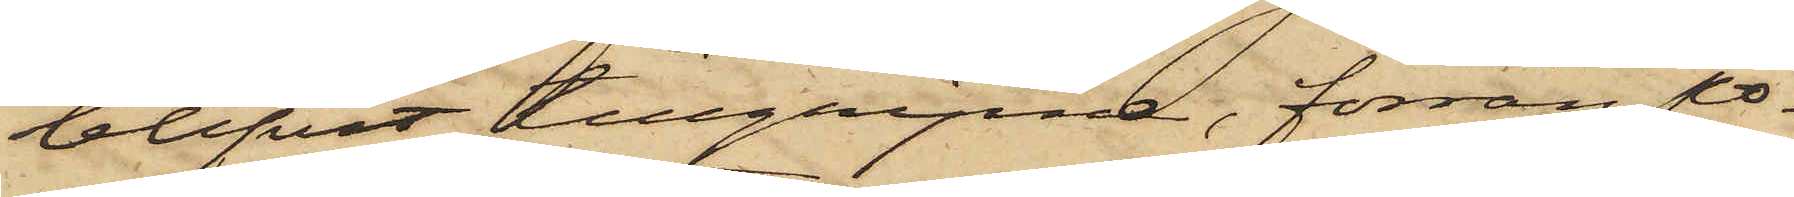blifvit tillgripna, förrän po¬
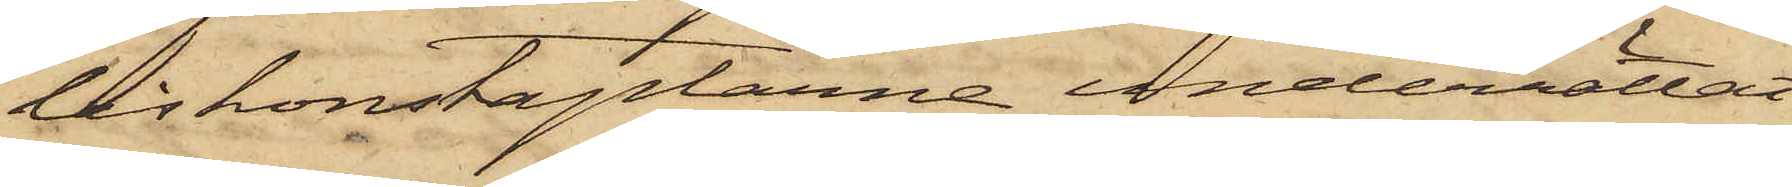liskonstaplarne underrättat
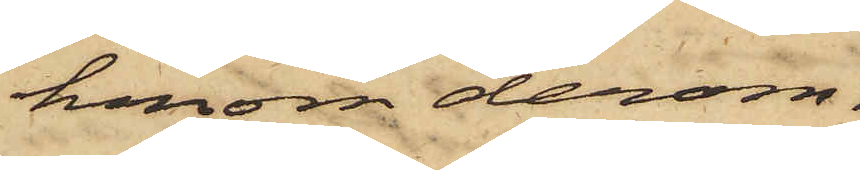honom derom.
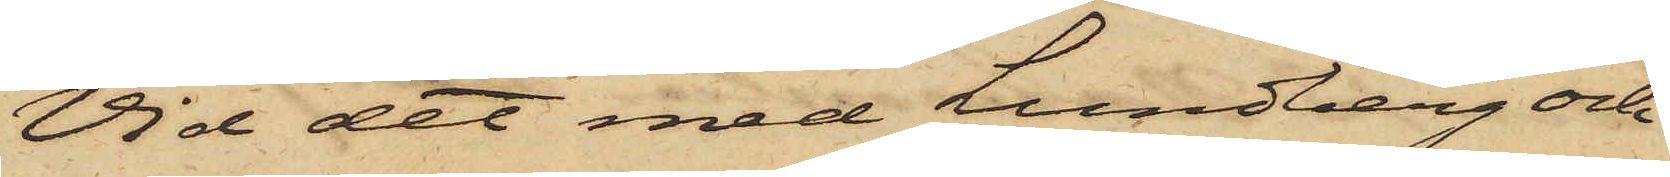Vid det med Lundberg och
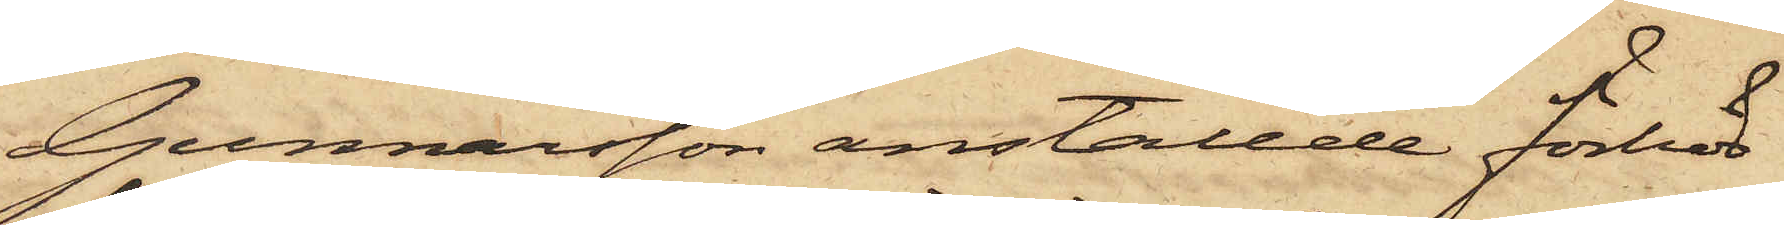Gunnarsson anställde förhör
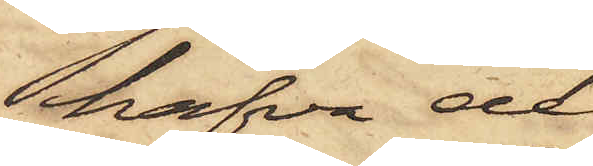hafva de
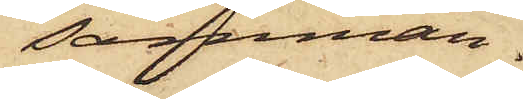samman¬
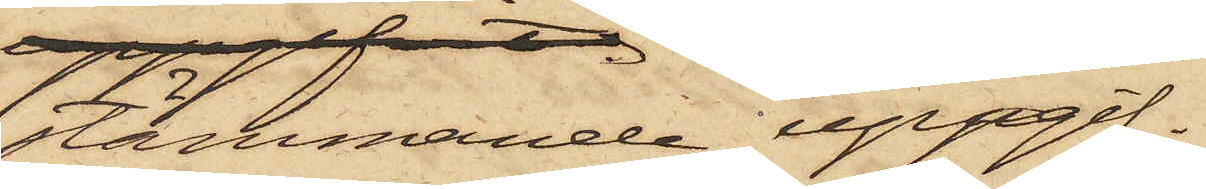stämmande uppgif¬
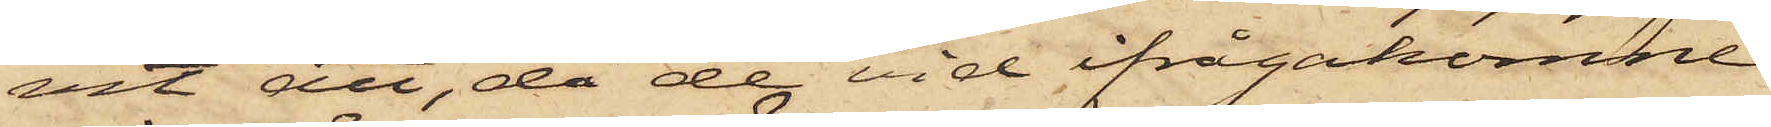vit att, då de vid ifrågakomne
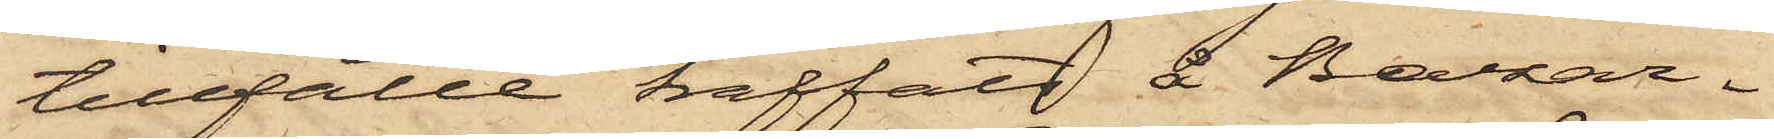tillfälle träffats å Bazar¬
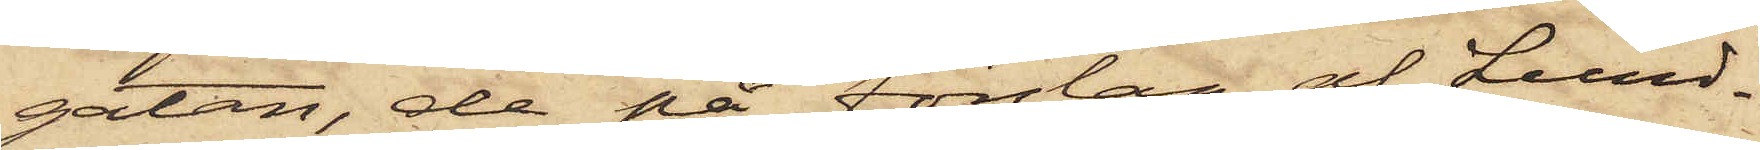gatan, de på förslag af Lund¬
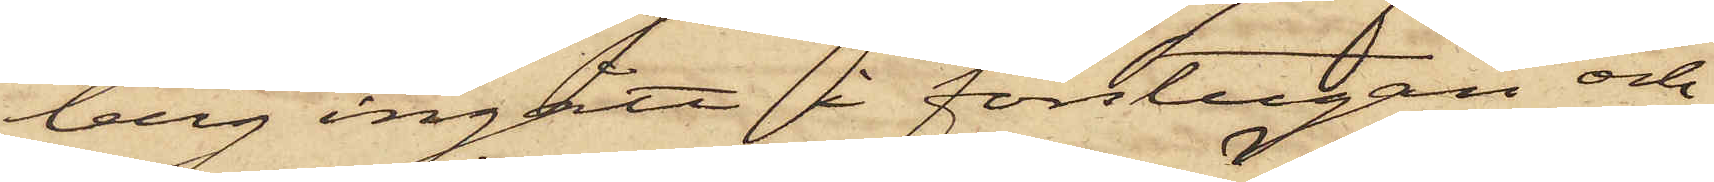berg ingått i förstugan och
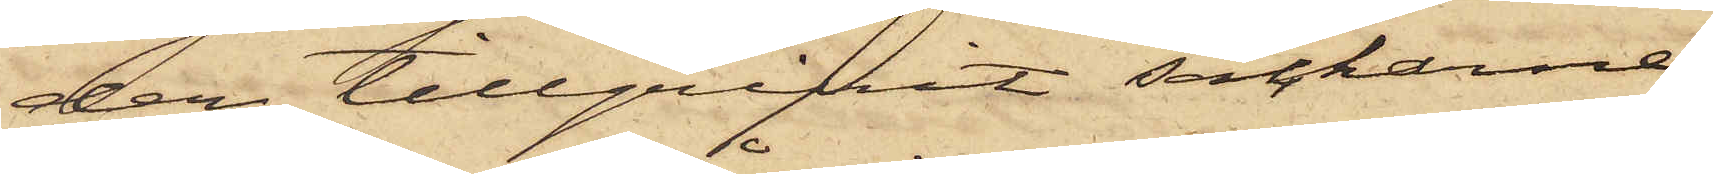der tillgripit säckarne,
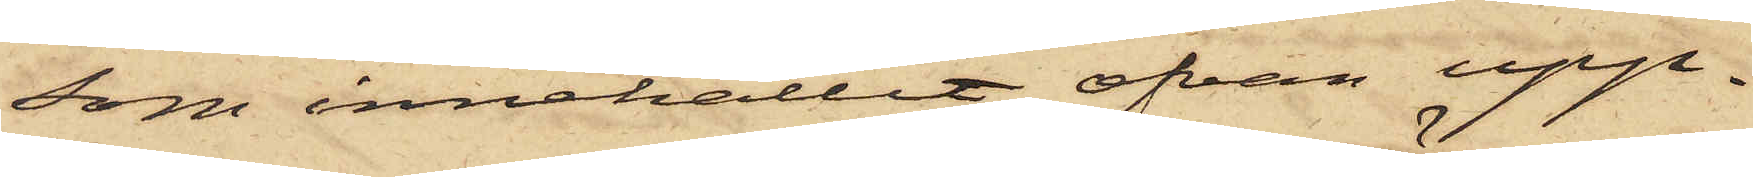som innehållit ofvan upp¬
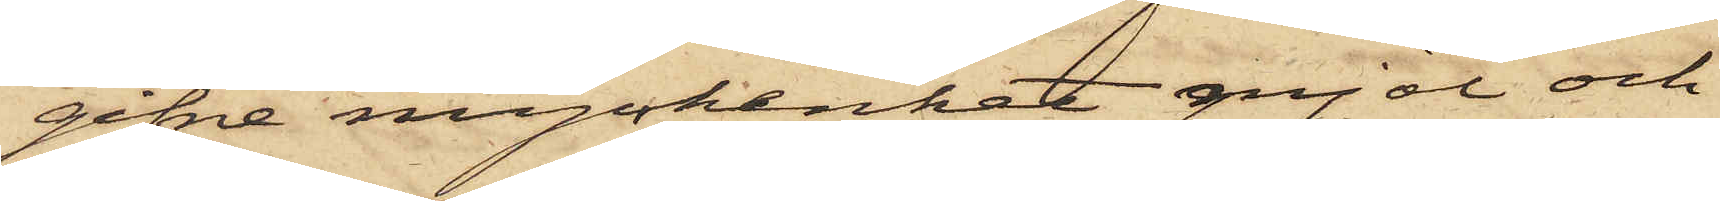gifne myckenhet mjöl och
